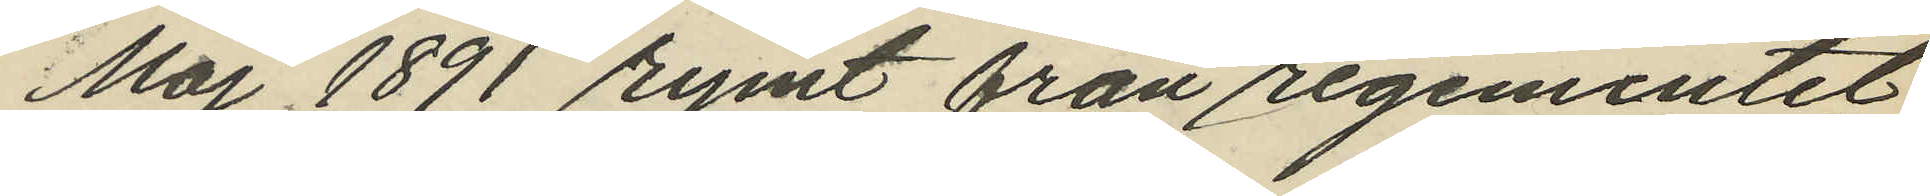Maj 1891 rymt från regementet
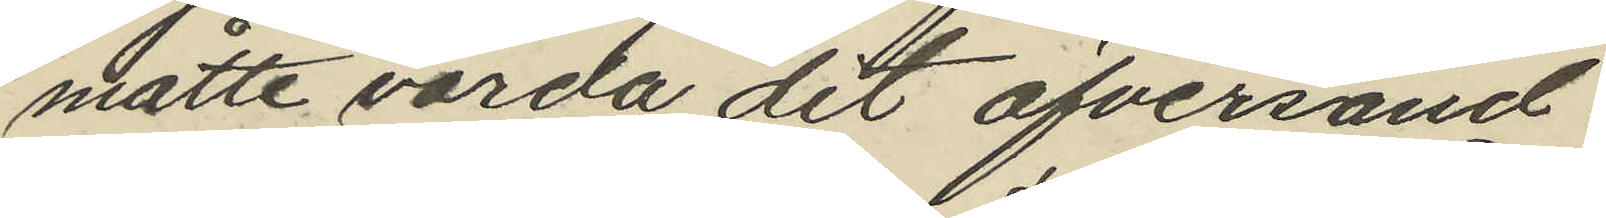måtte varda dit öfversänd.
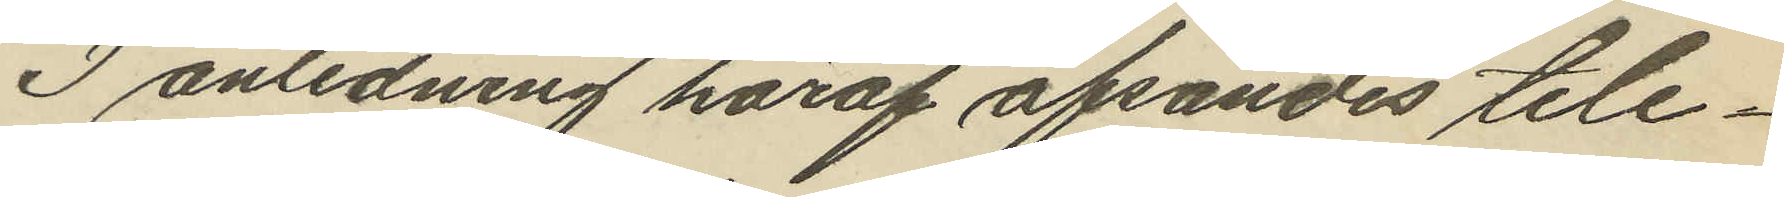I anledning häraf afsändes tele¬
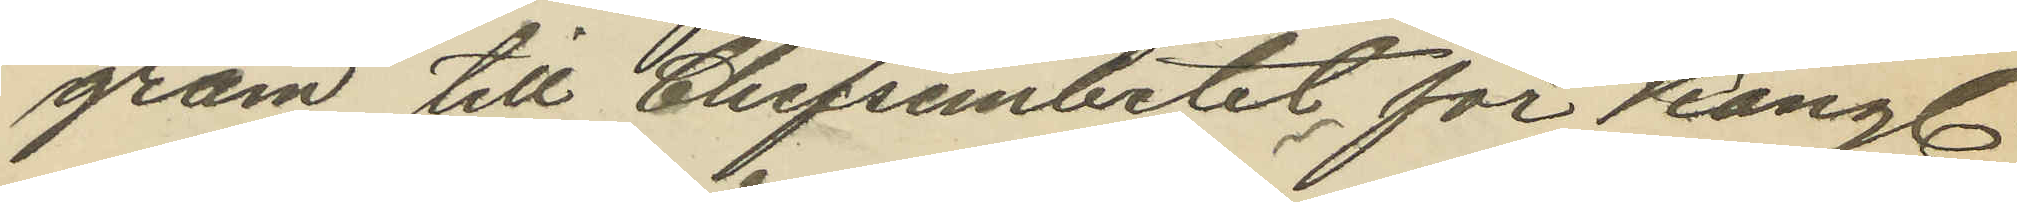gram till Chefsembetet för Kongl.
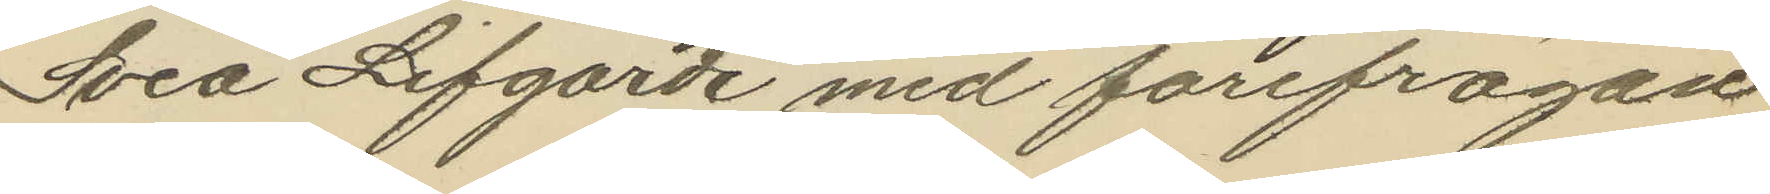Svea Lifgarde med förefrågan
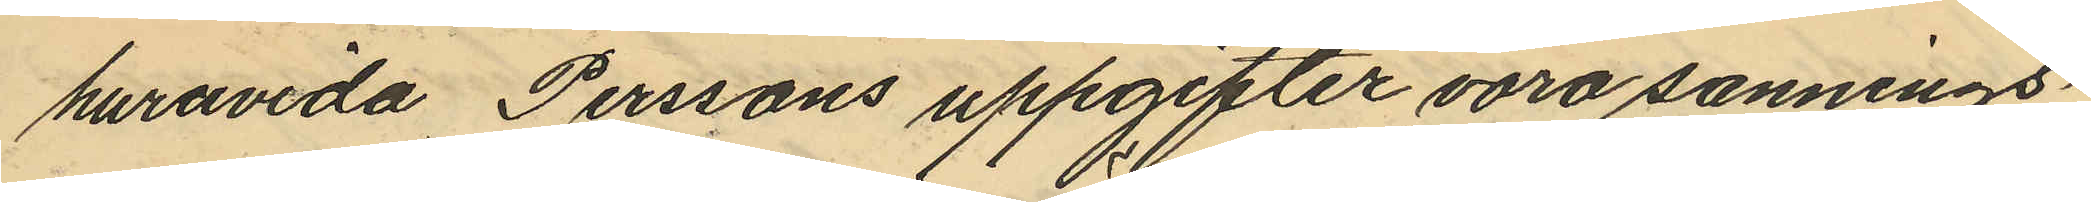huruvida Perssons uppgifter voro sannings¬
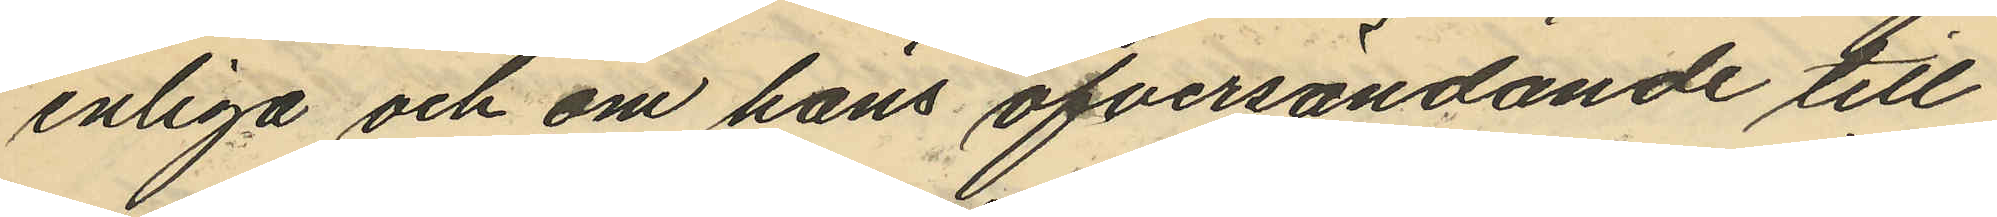enliga och om hans öfversändande till
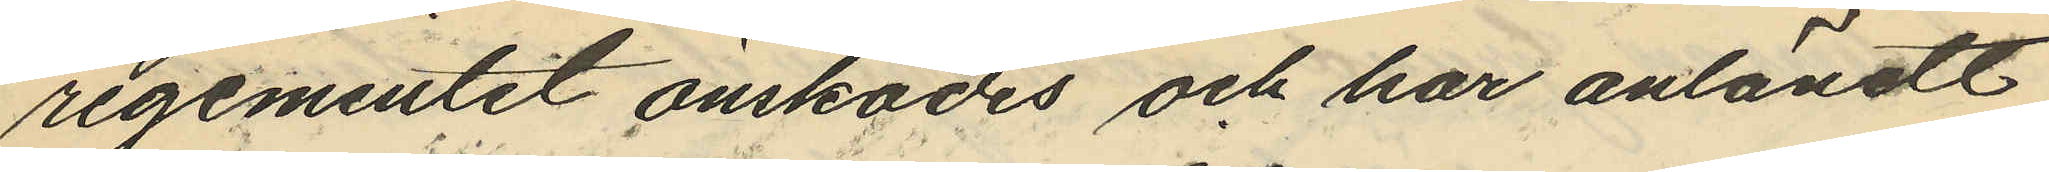regementet önskades och har anländt
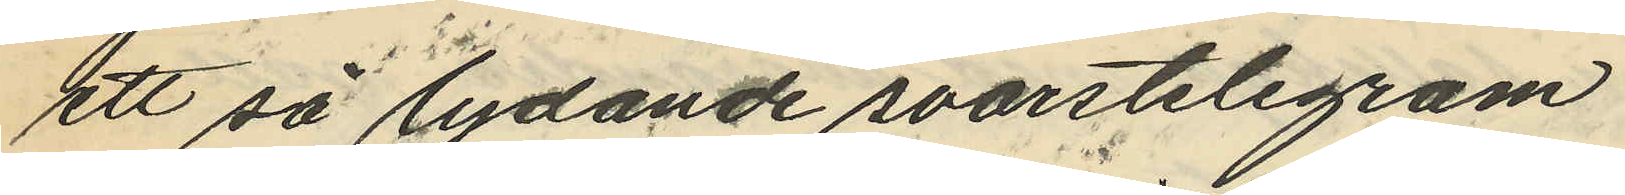ett så lydande svarstelegram
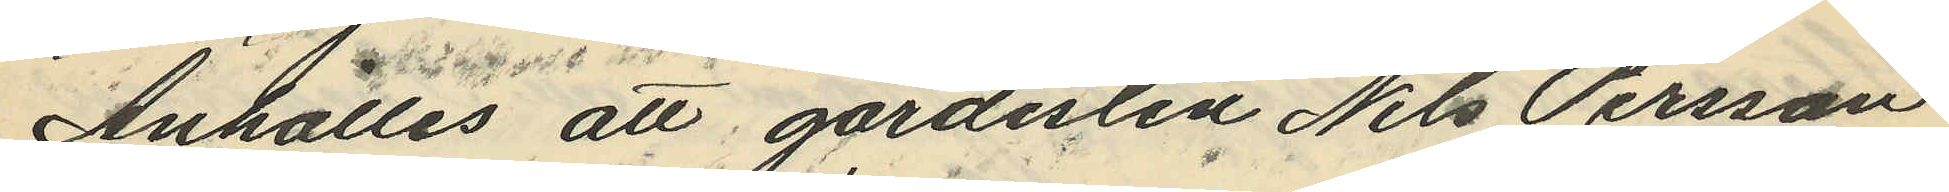Anhålles att gardisten Nils Persson
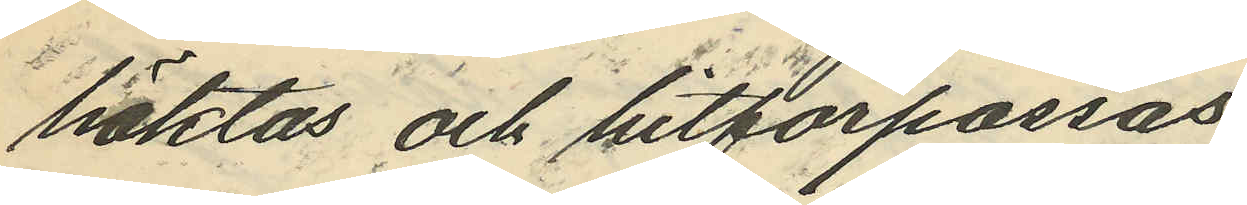häktas och hitförpassas
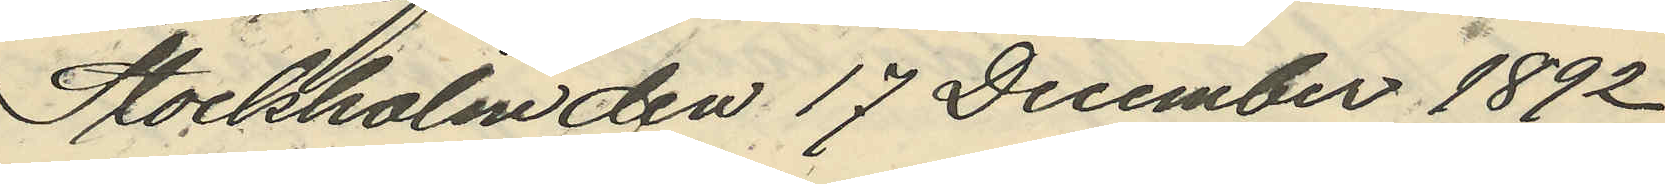Stockholm den 17 December 1892
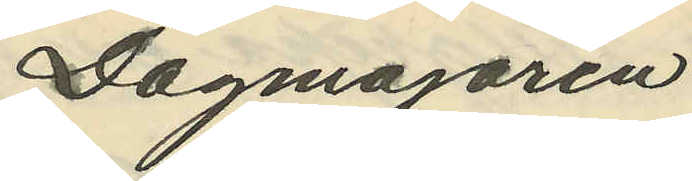Dagmajoren
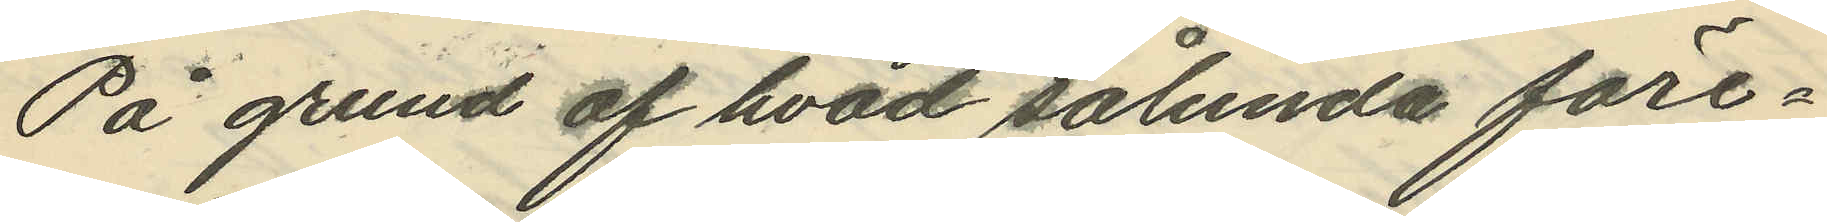På grund af hvad sålunda före¬
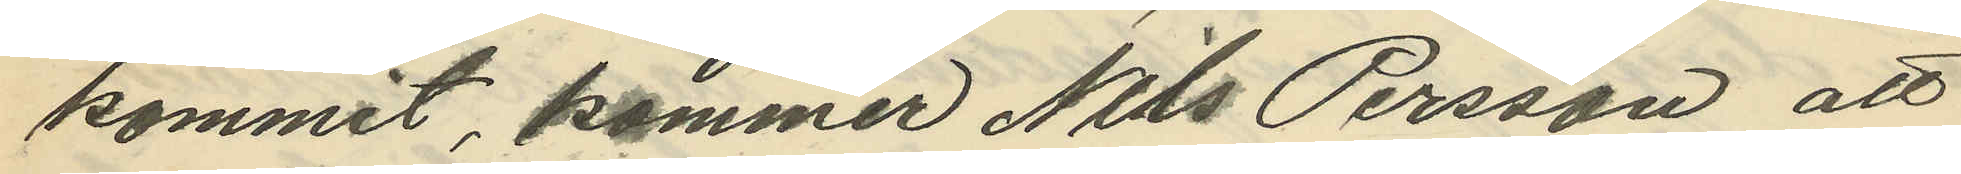kommit kommer Nils Persson att
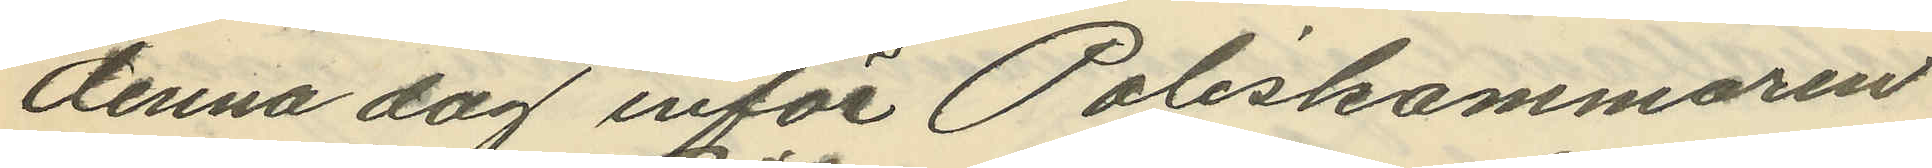denna dag inför Poliskammaren
